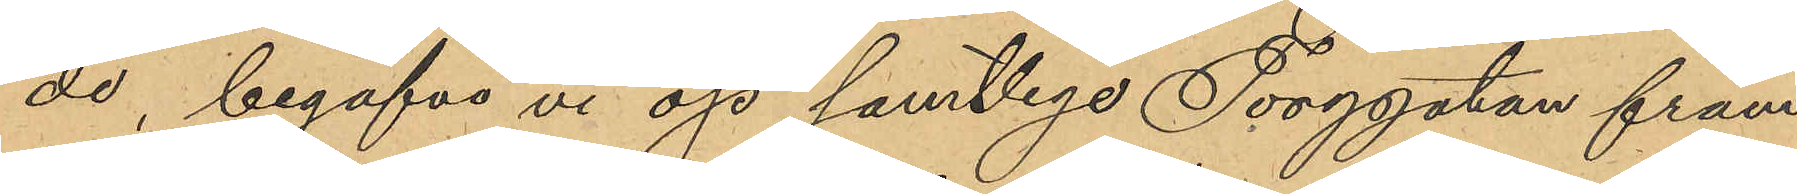de begåfvo vi oss samtliga Torggatan fram
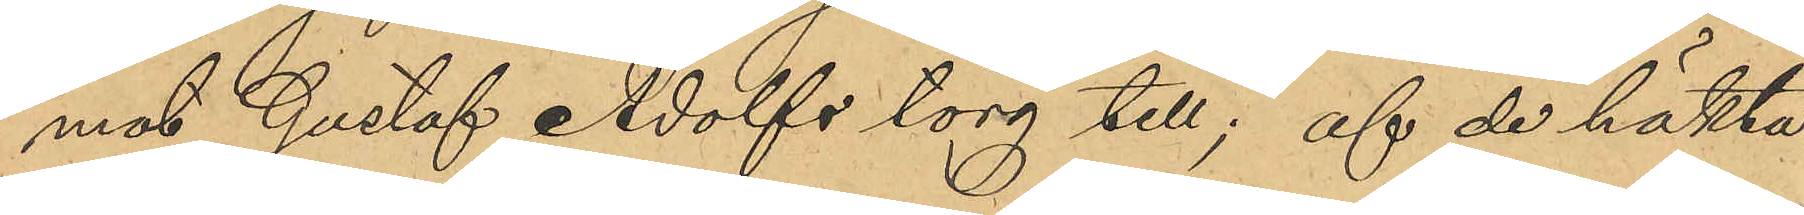mot Gustaf Adolfs torg till; af de häkta¬
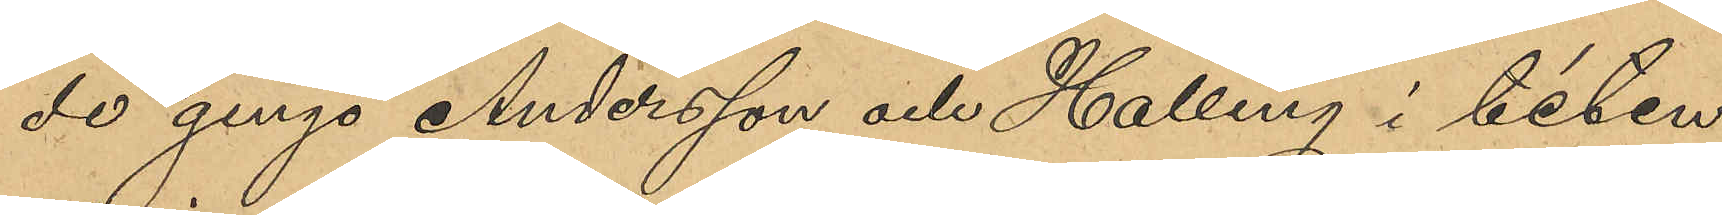de gingo Andersson och Halling i teten,
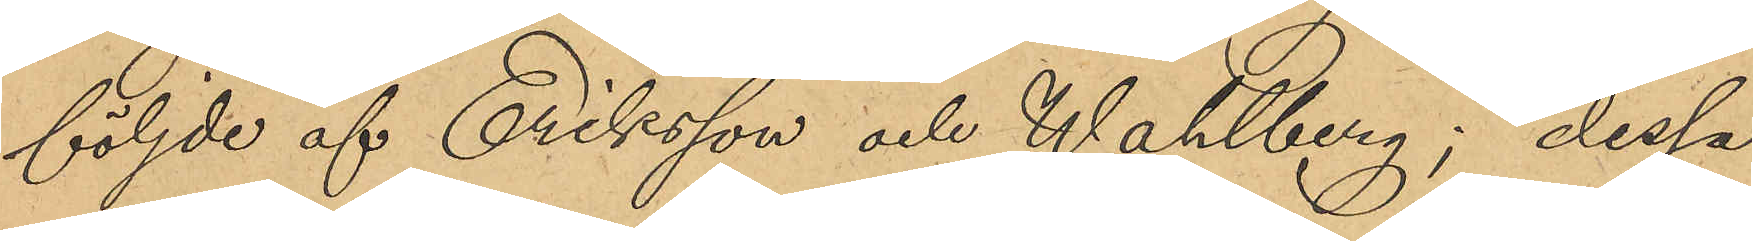följde af Eriksson och Wahlberg, dessa
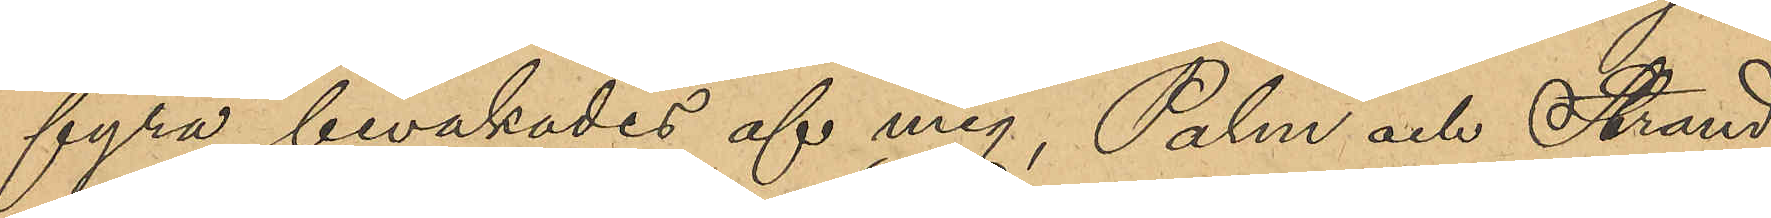fyra bevakades af mig, Palm och Strand
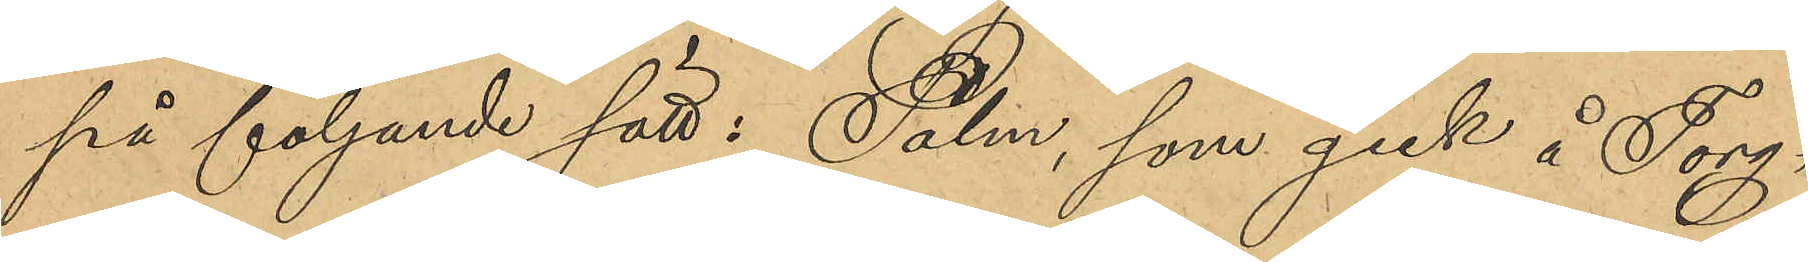på följande sätt: Palm, som gick å Torg¬
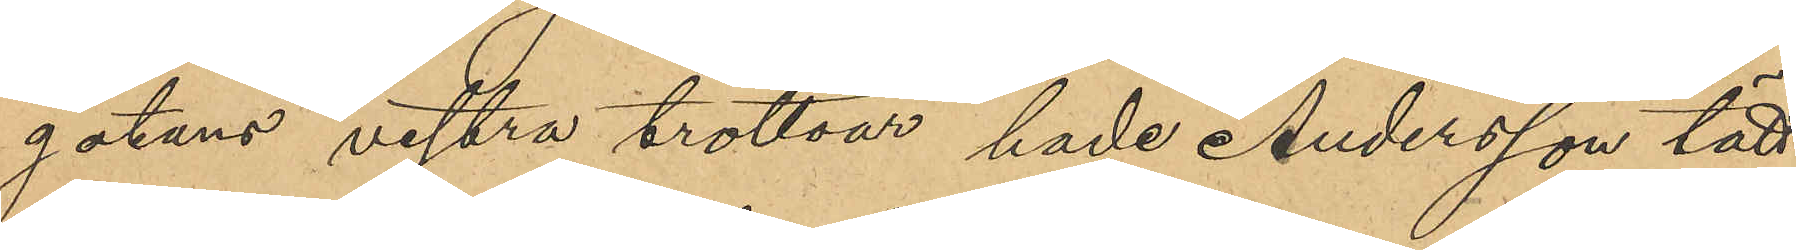gatans vestra trottoar hade Andersson tätt
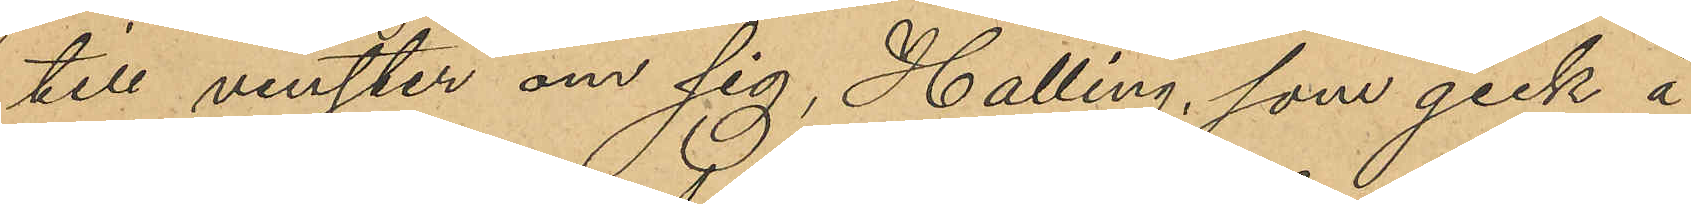till venster om sig, Halling, som gick å
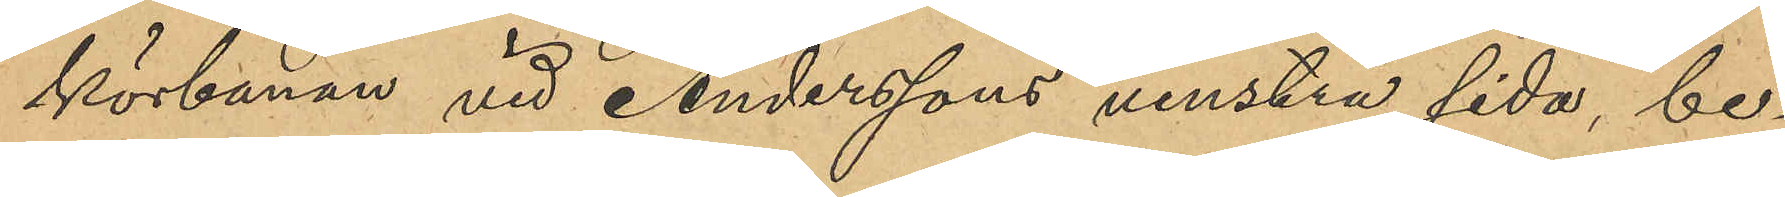körbanan vid Anderssons venstra sida be¬
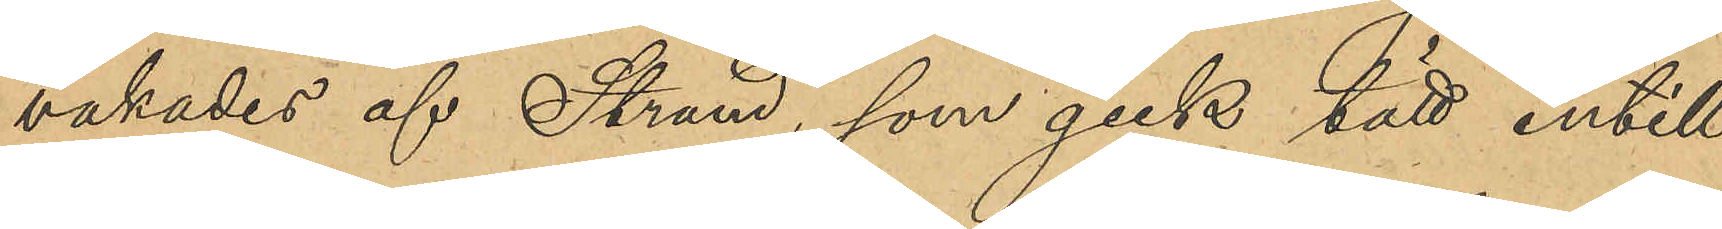vakades af Strand, som gick tätt intill
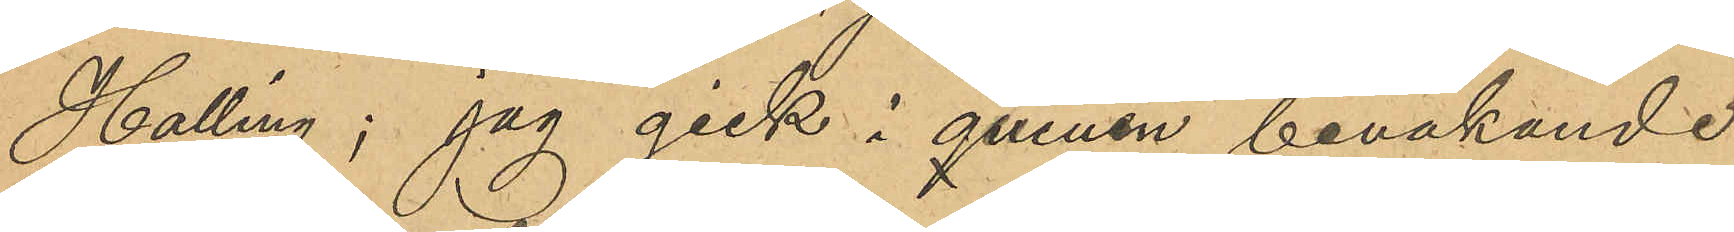Halling; jag gick i queuen bevakande
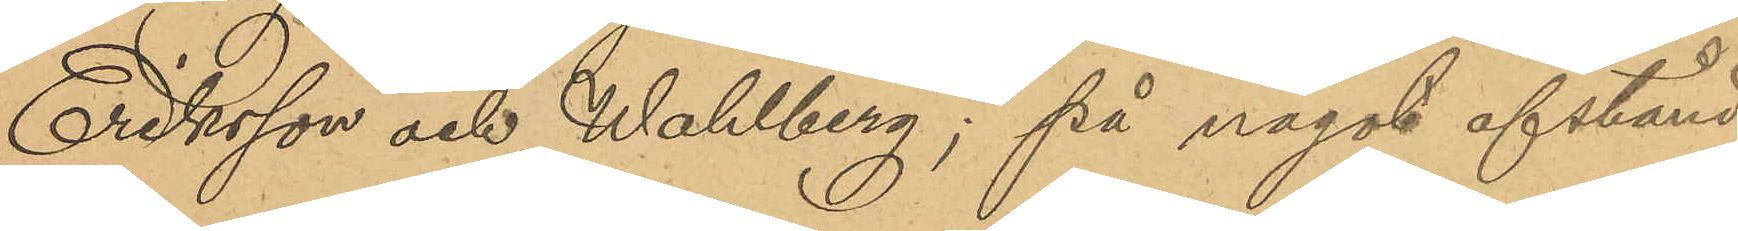Eriksson och Wahlberg; på något afstånd
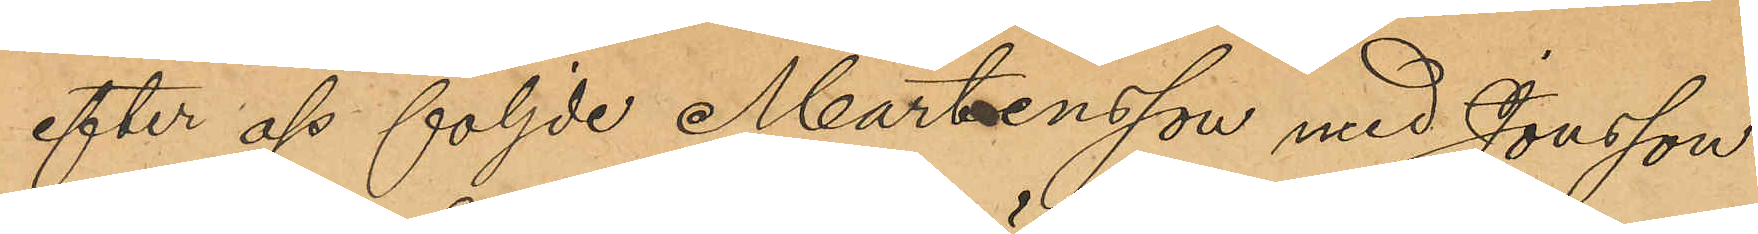efter oss följde Mårtensson med Jonsson.
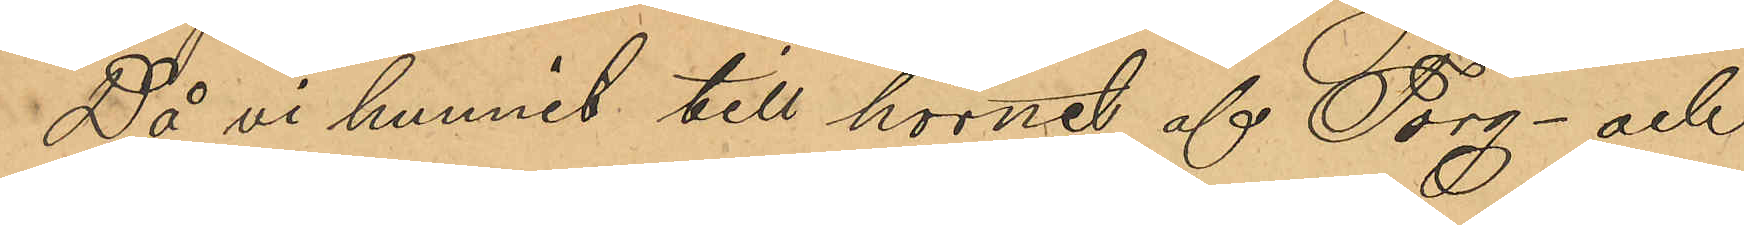Då vi hunnit till hörnet af Torg- och
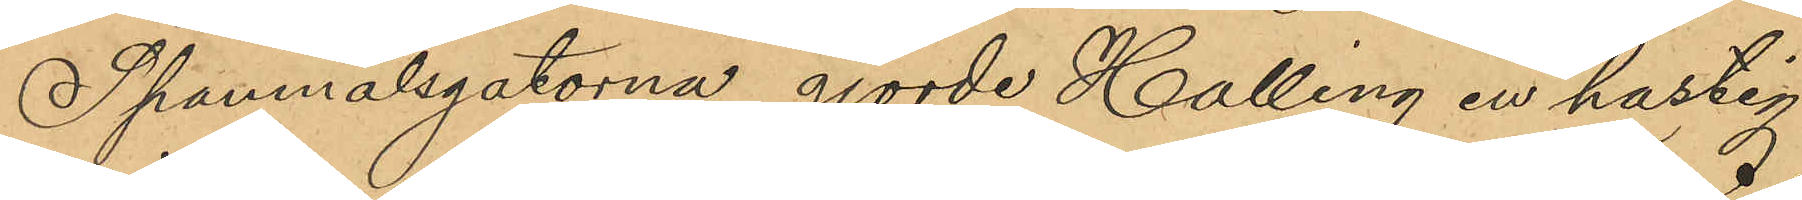Spannmålsgatorna gjorde Halling en hastig
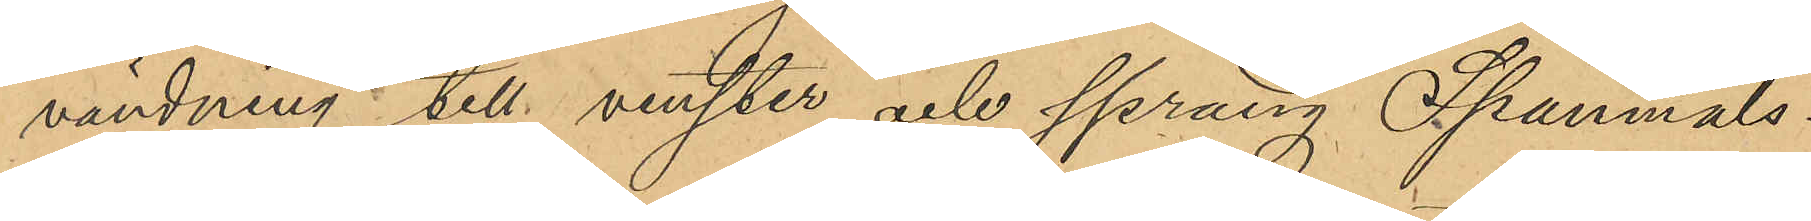vändning till venster och sprang Spannmåls¬
